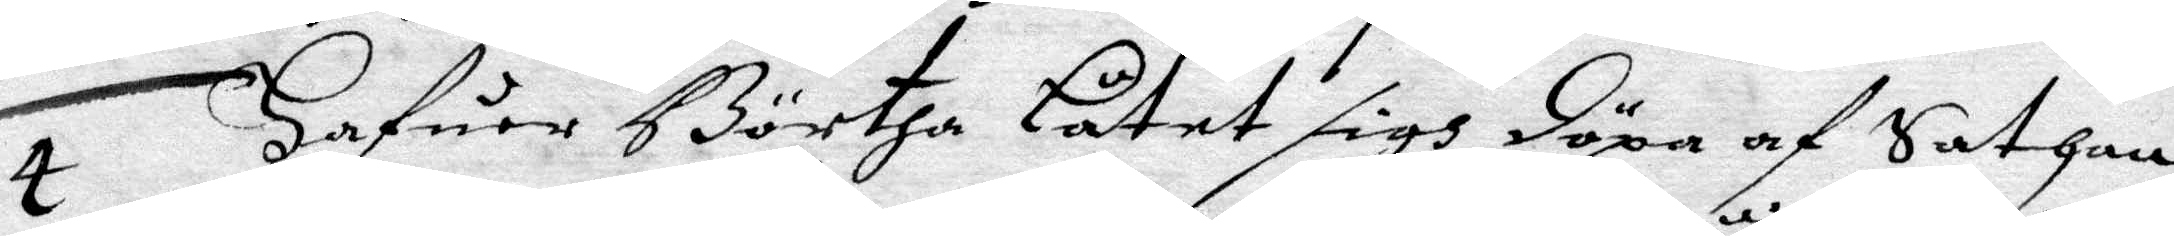4 Hafuer Börtha Låtet sigh döpa af Satan,
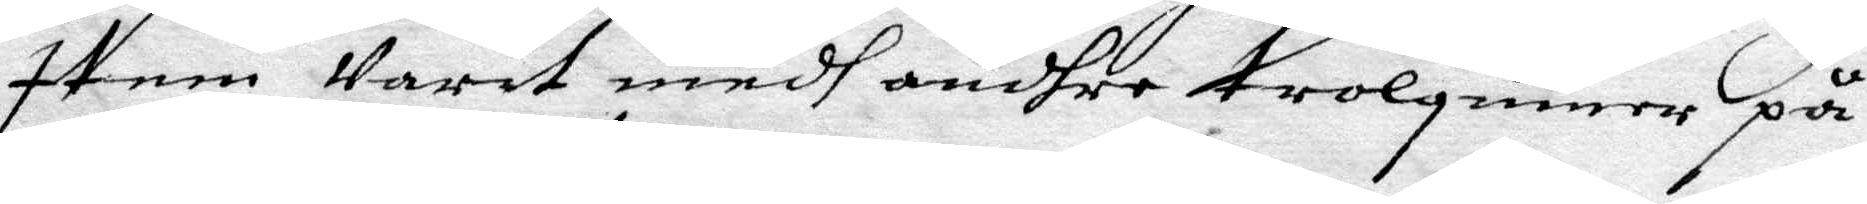Item Varit medh andhre trolquinor på
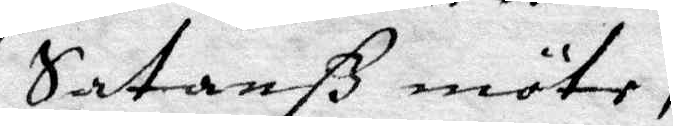Satanß möte,
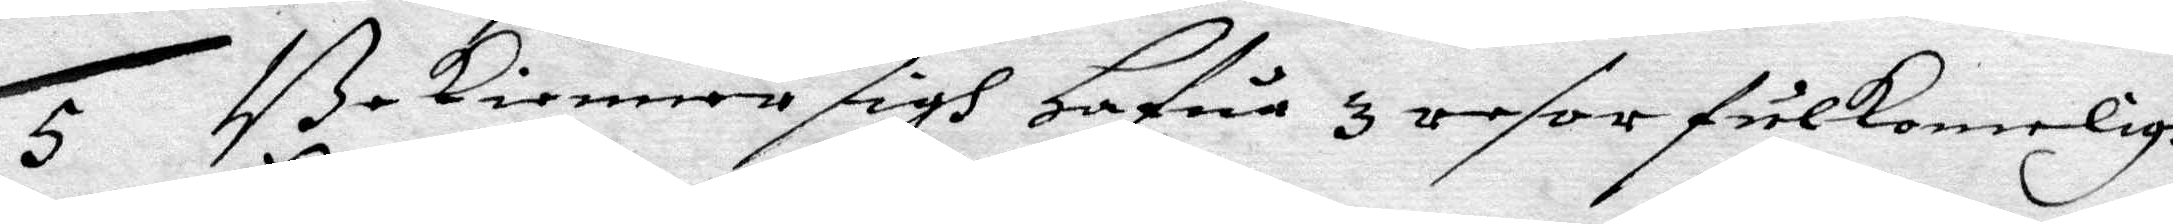5 Bekienner sigh Hafua 3 resor fulkomligh
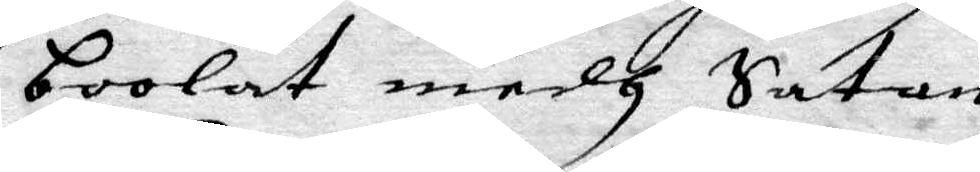boolat medh Satan
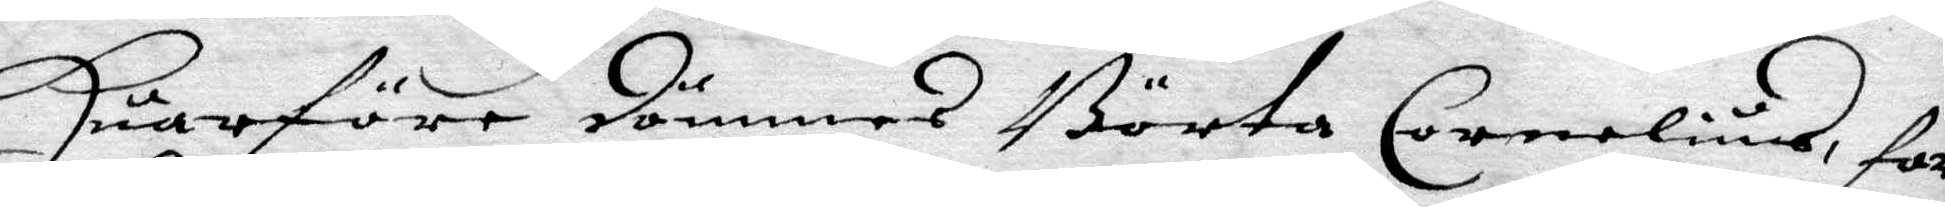Huarföre dömmes Börta Cornelius, for
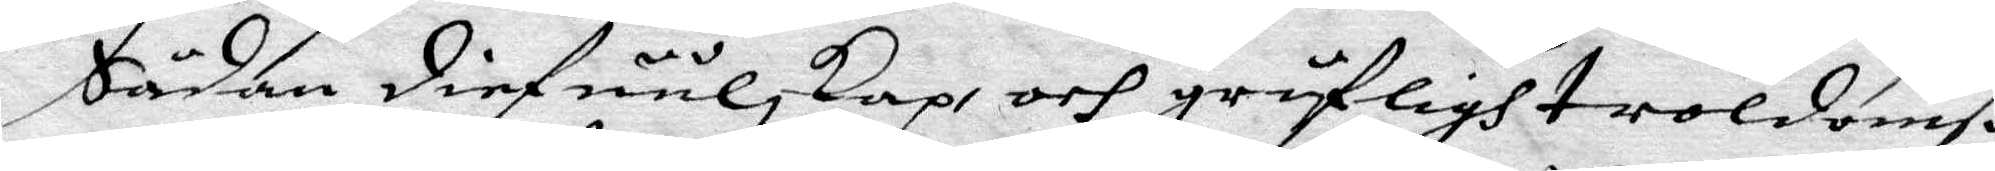Sådan diefuulskap och gräsligh troldomß¬
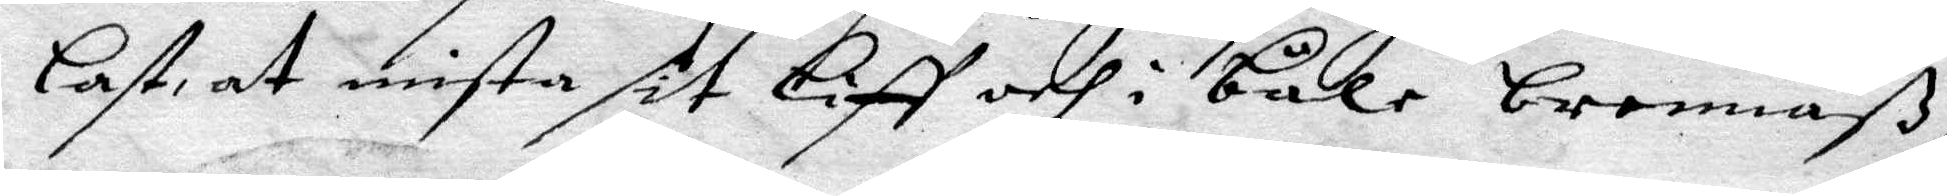last at mista sit Liff och i båle brennß,
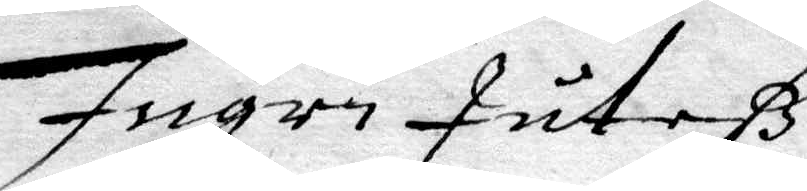Ingri Juteß
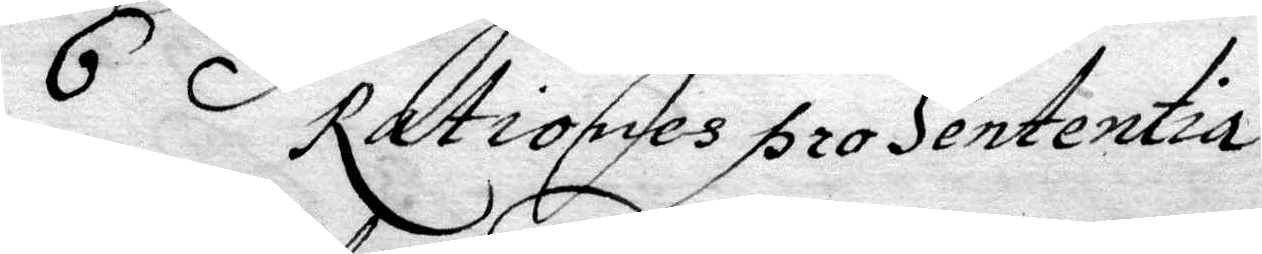6 Rationes pro Sententia
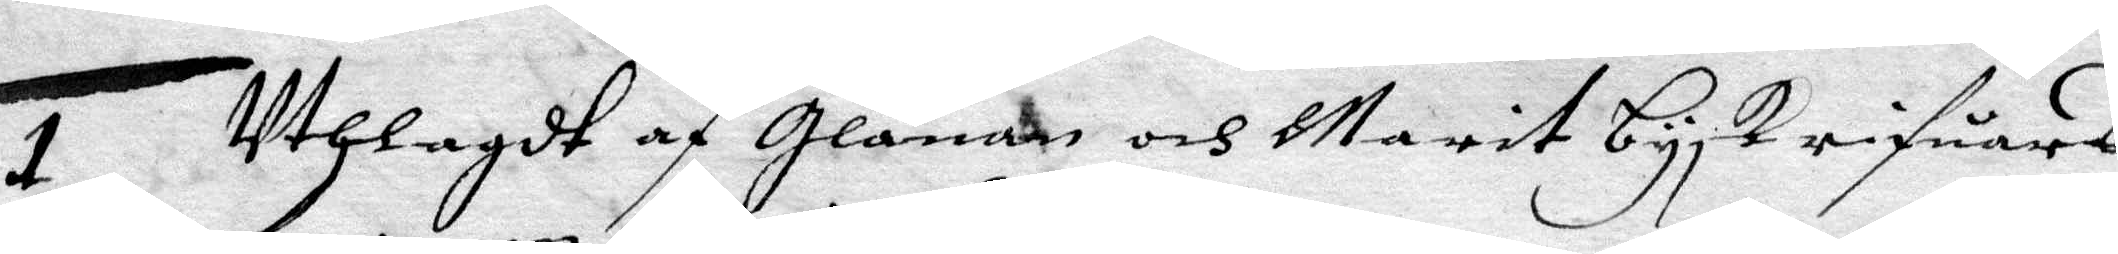1 Uthlagdt af Glanan och Marit byskrifuares
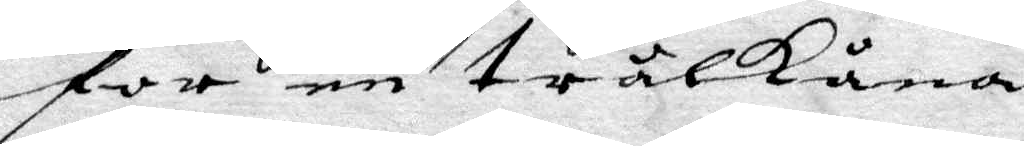for en trålkåna
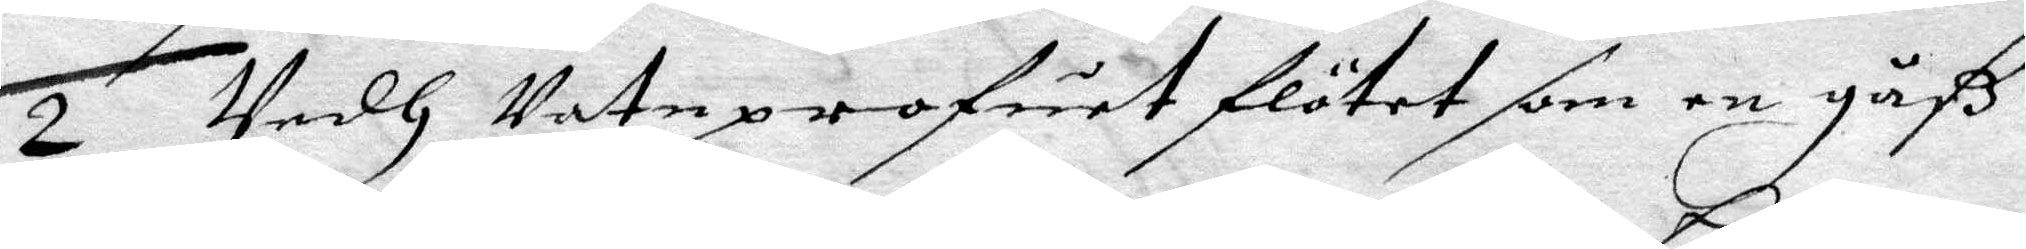2 Vedh Vatuprofuet flötet som en gåß
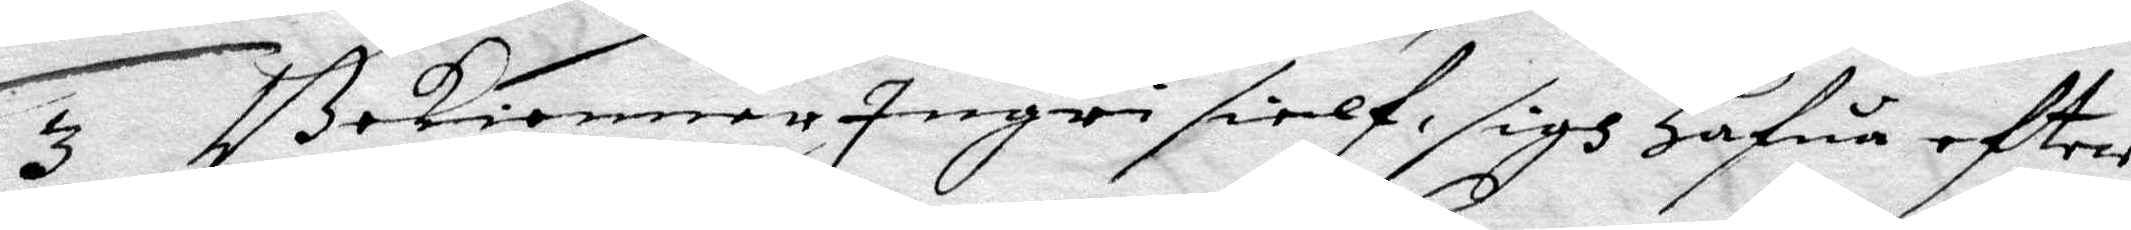3 Bekienner Ingri sielf sigh hafua eftter
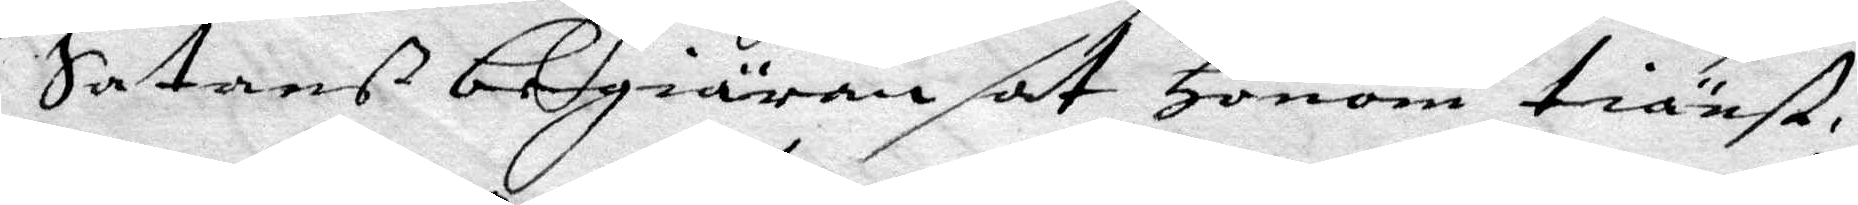Satans begiäran sat Honom tiäst,
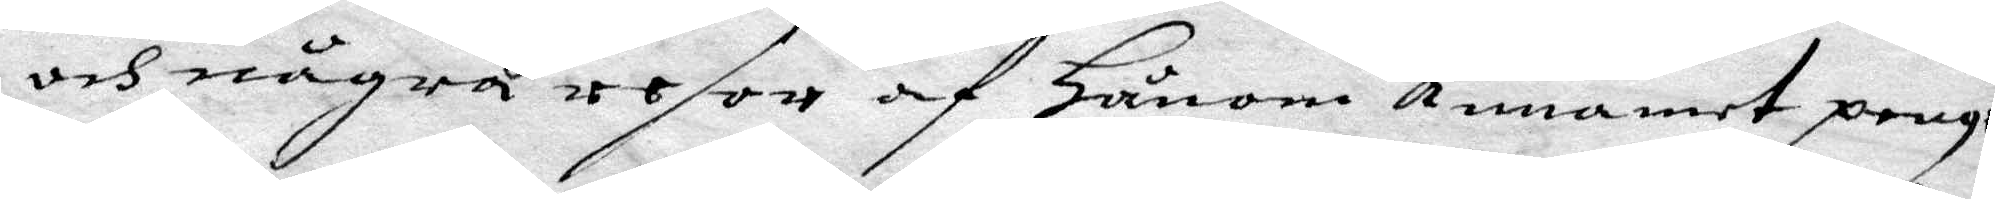och några resor af Honom annamet pengar
